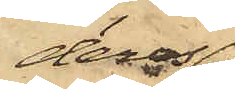deras
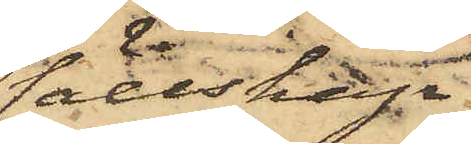sällskap
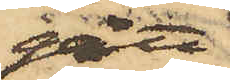gått
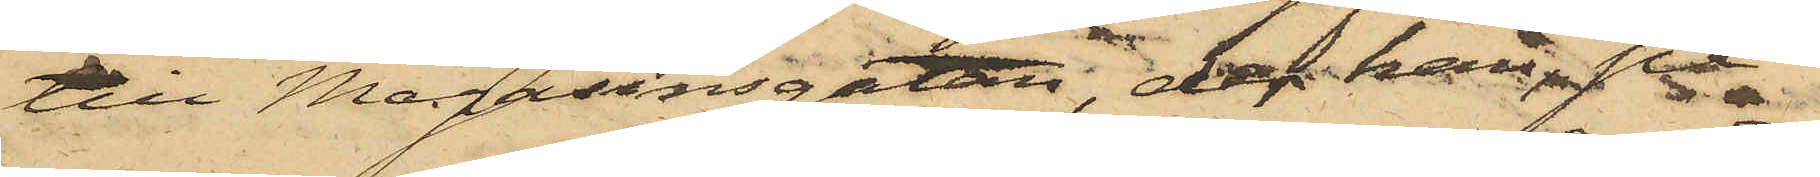till Magasinsgatan, der han på
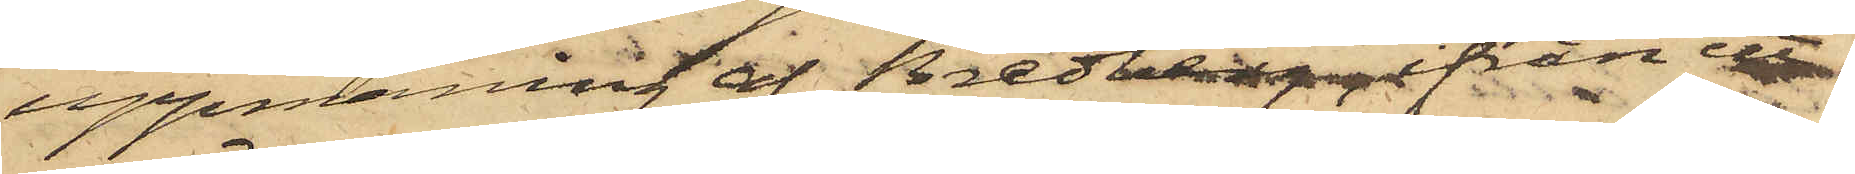uppmaning af Bredberg ifrån ett
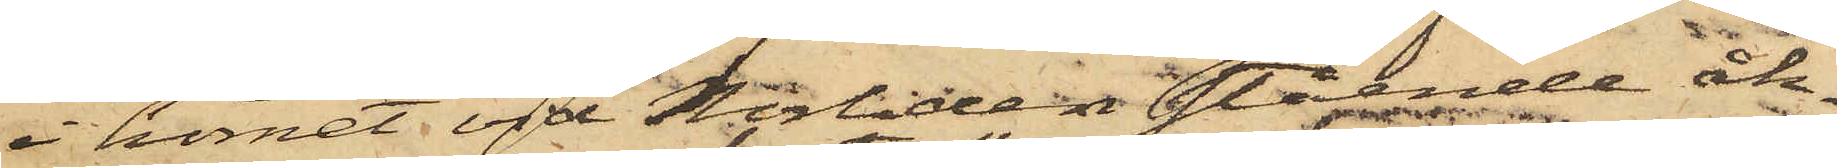i hörnet vid Norliden stående åk¬
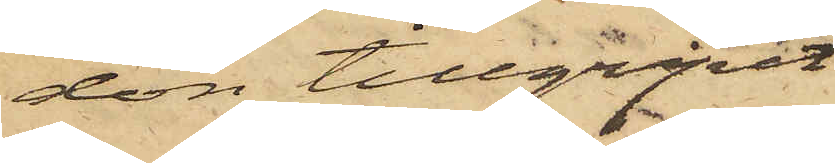don tillgripit
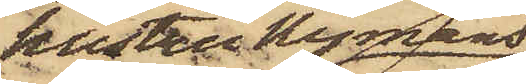hustru Nymans
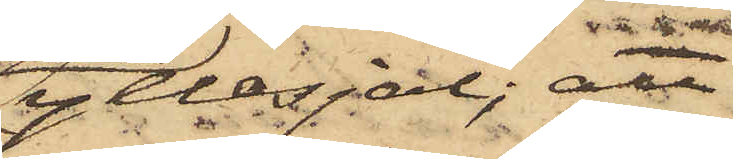yllesjal; att
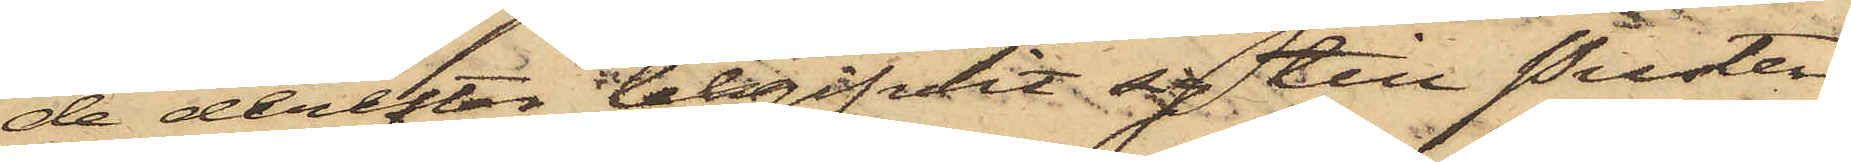de derefter begifvit sig till Puster¬
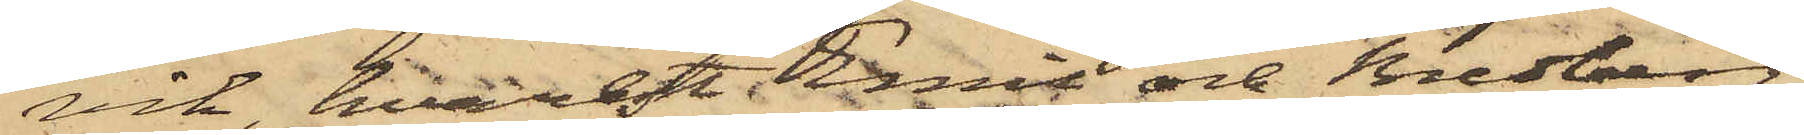vik hvarest Emil och Bredberg,
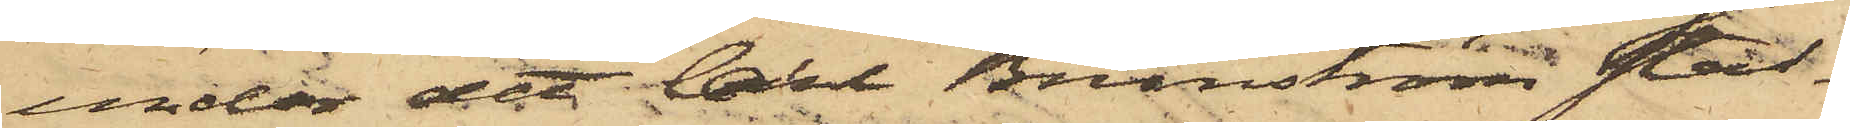under det Carl Brunström stad¬
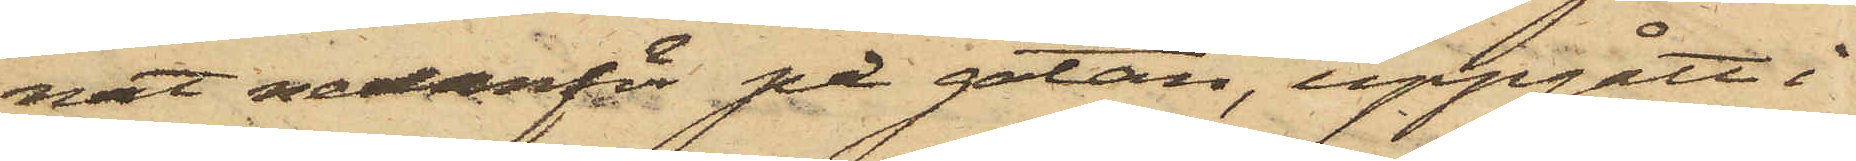nat nedanför på gatan, uppgått i
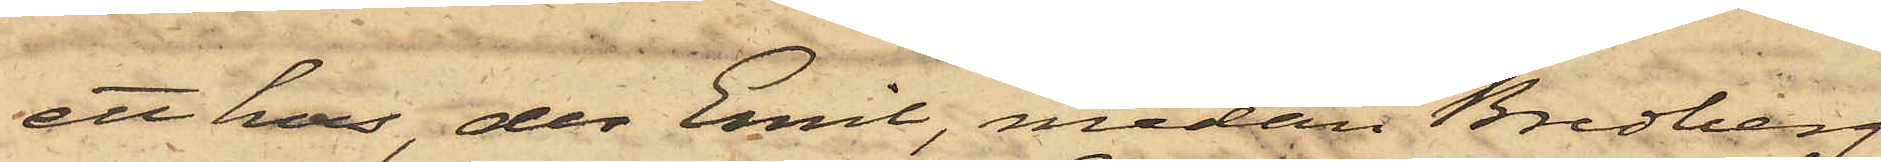ett hus, der Emil, medan Bredberg
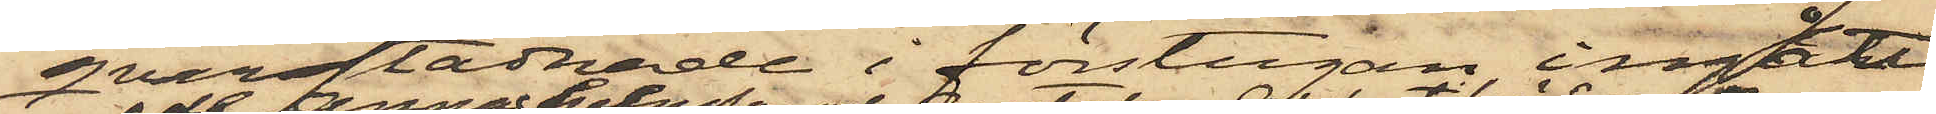qvarstadnade i förstugan, ingått
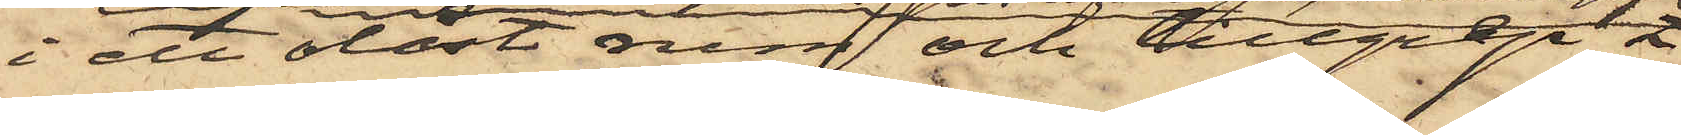i ett olåst rum och tillgrep
